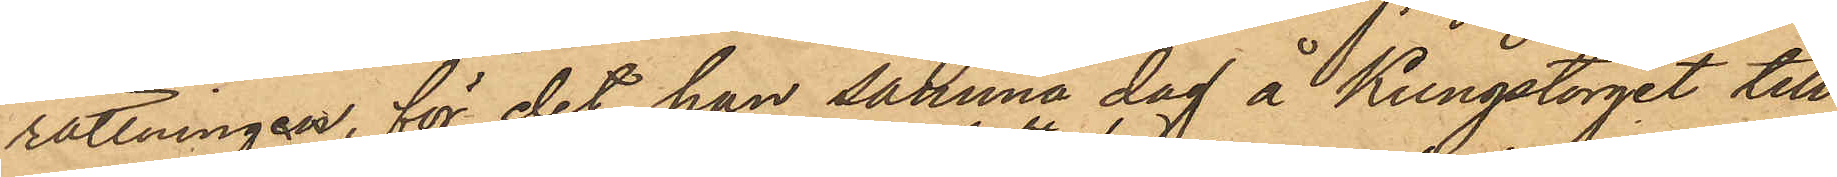rättningen, för det han samma dag å Kungstorget till
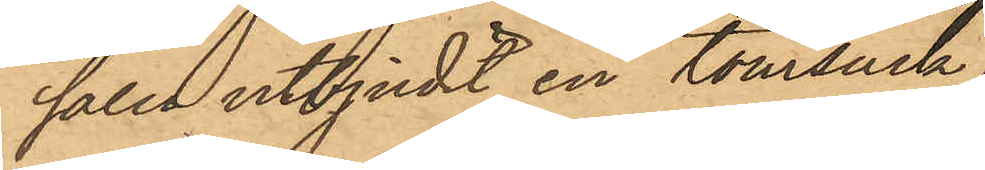salu utbjudit en tomsäck
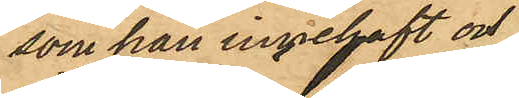som han innehaft och
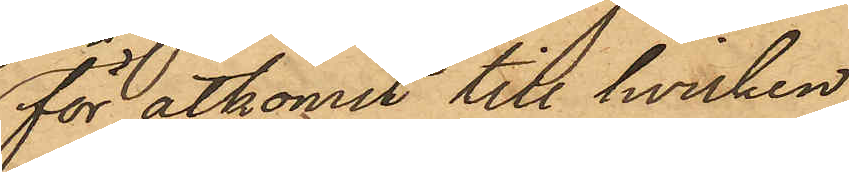för åtkomst till hvilken
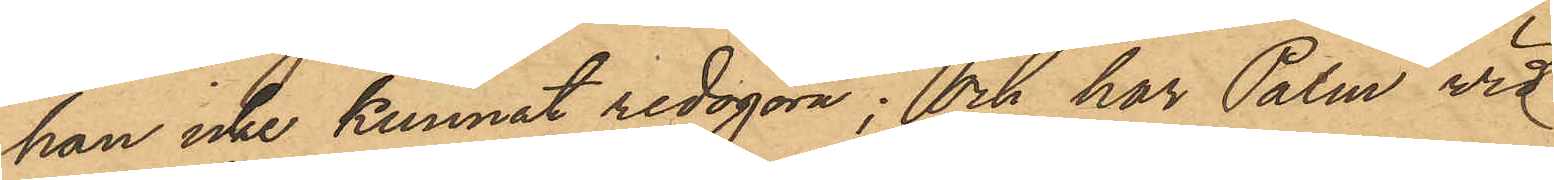han icke kunnat redogöra; och har Palm vid
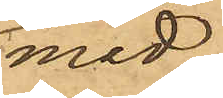med
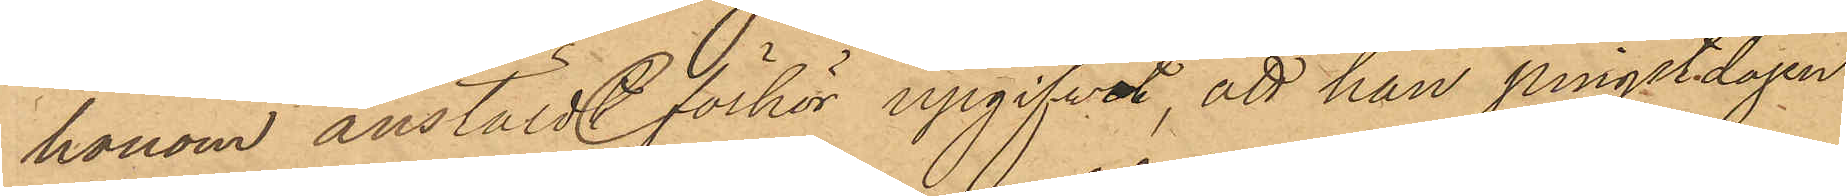honom anstälde förhör upgifvit, att han pingstdagen
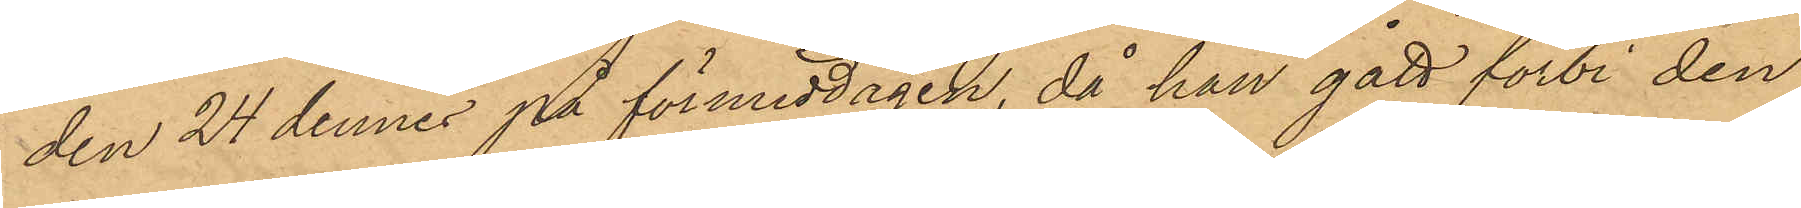den 24 dennes på förmiddagen, då han gått förbi den
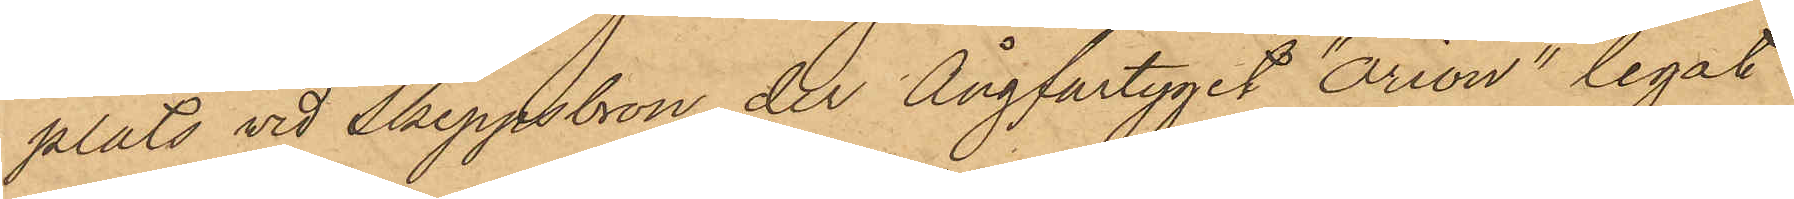plats vid Skeppsbron, der Ångfartyget "Orion" legat
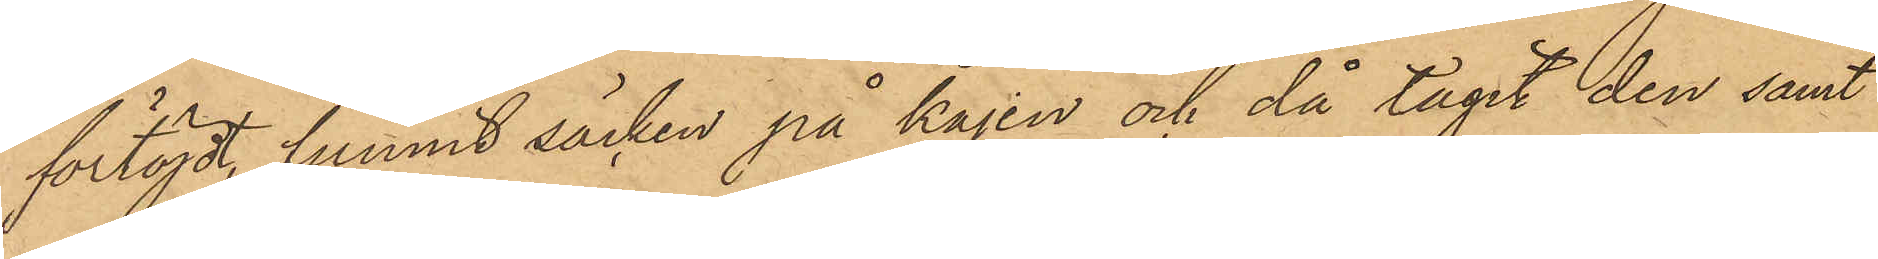förtöjdt, funnit säcken på kajen och då tagit den samt
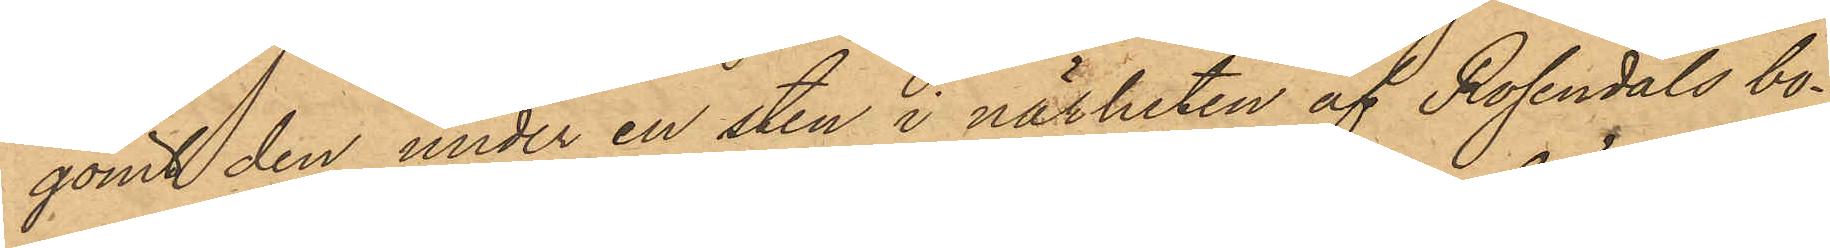gömt den under en sten i närheten af Rosendals bo¬
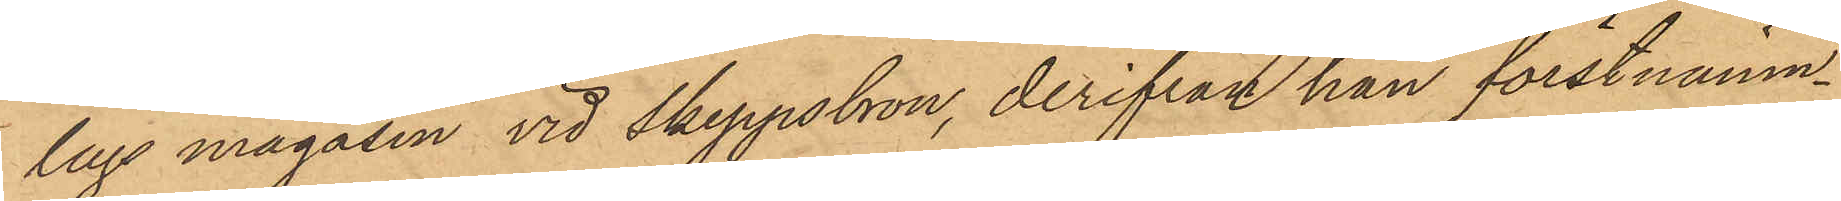lags magasin vid Skeppsbron, derifrån han förstnämn¬
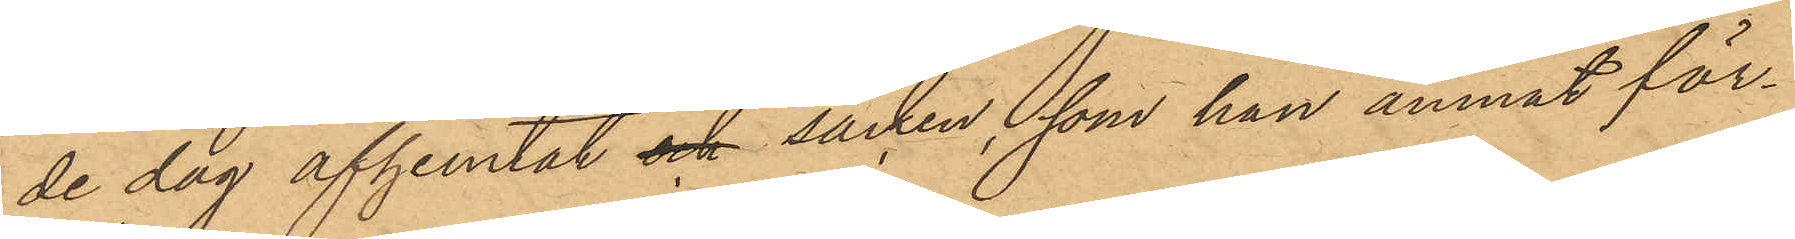de dag afhemtat och säcken, som han ämnat för¬
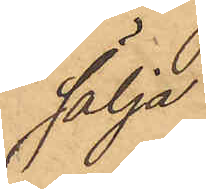sälja.
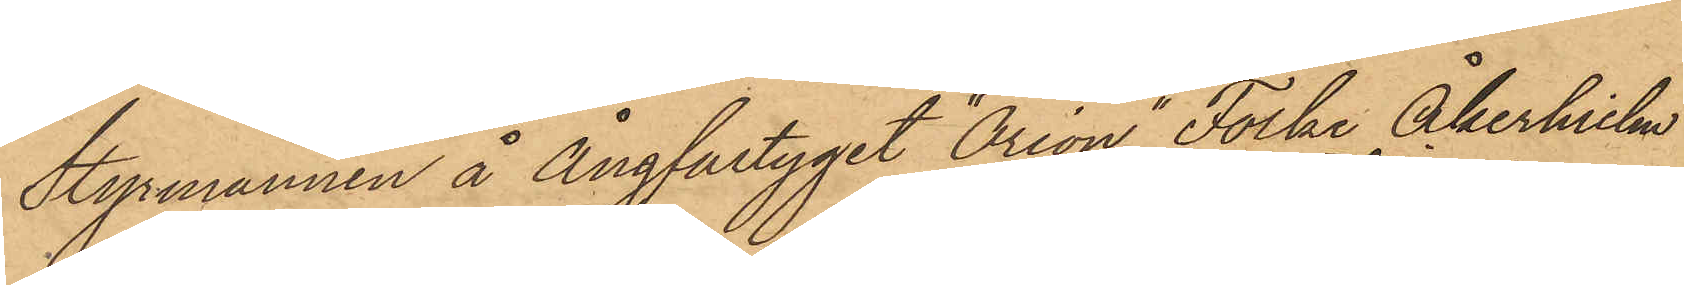Styrmannen å Ångfartyget "Orion" Folke Åkerhielm
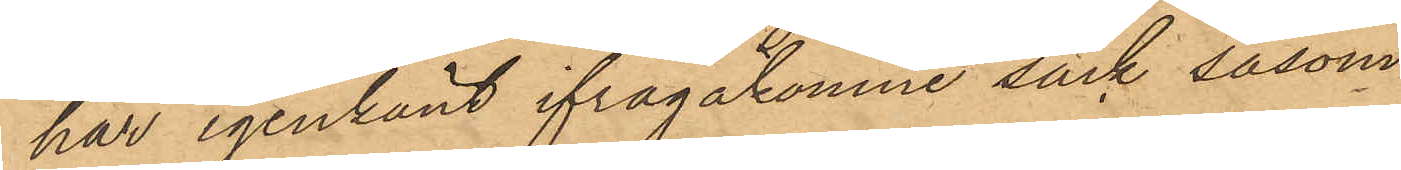har igenkänt ifrågakomne säck såsom
